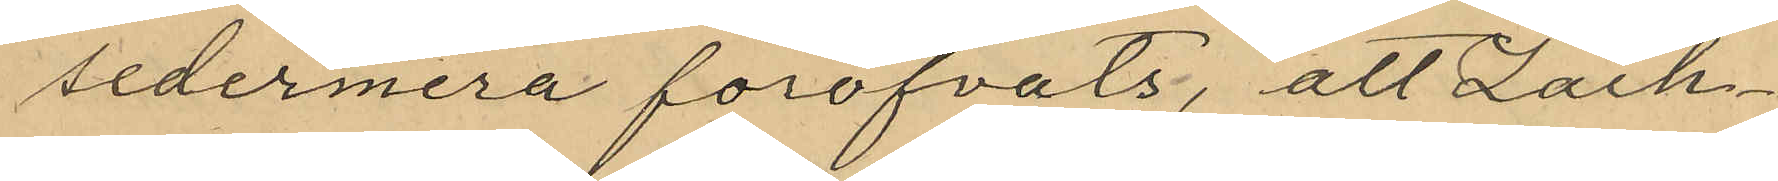sedermera föröfvats, att Zach¬
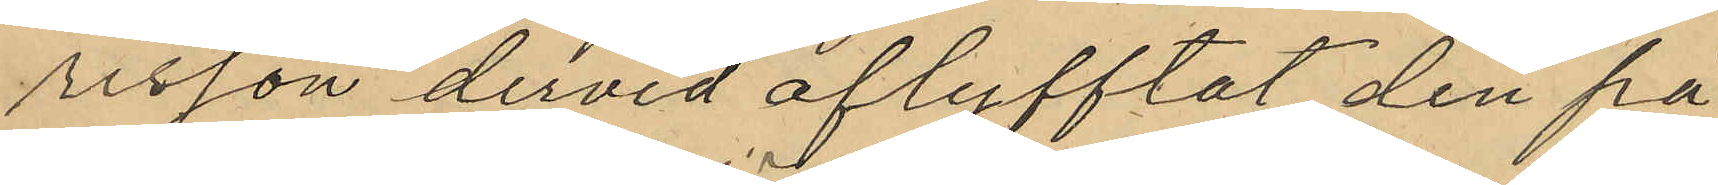risson dervid aflyfftat den på
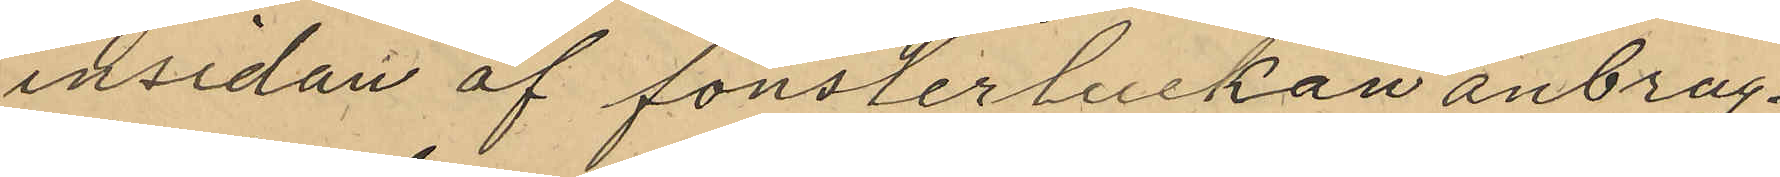insidan af fönsterluckan anbrag¬
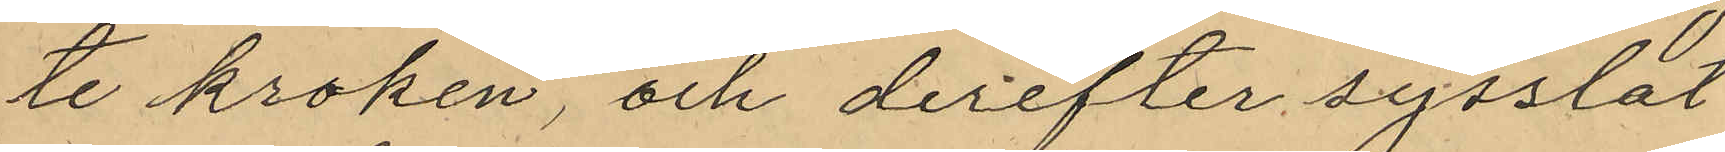te kroken, och derefter sysslat
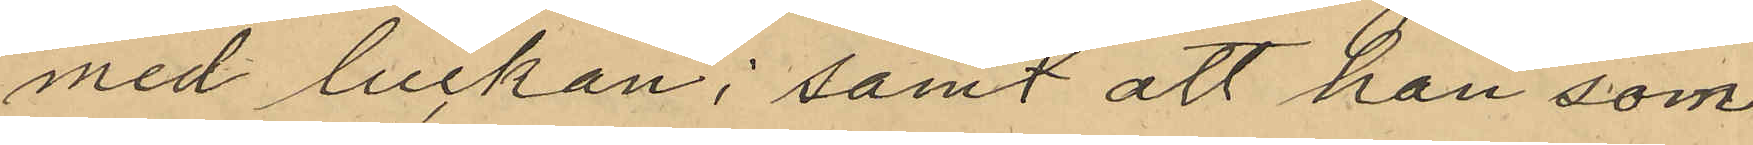med luckan; samt att han som
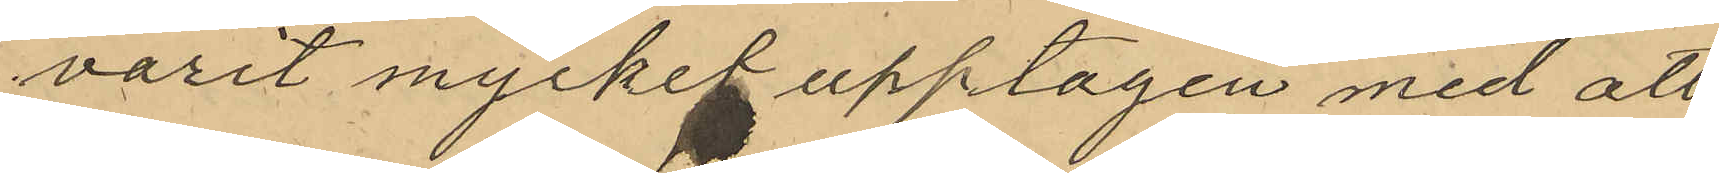varit mycken upptagen med att
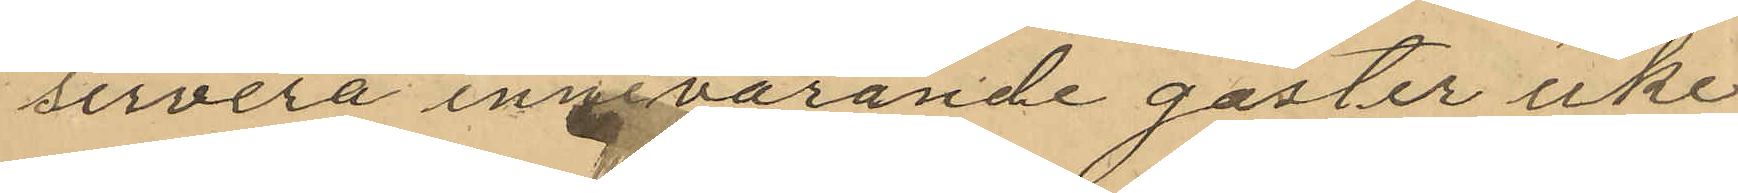servera innevarande gäster icke
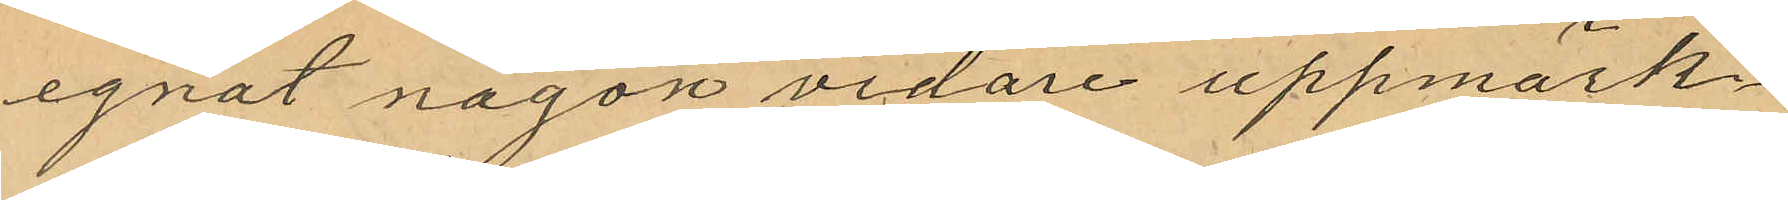egnat någon vidare uppmärk¬
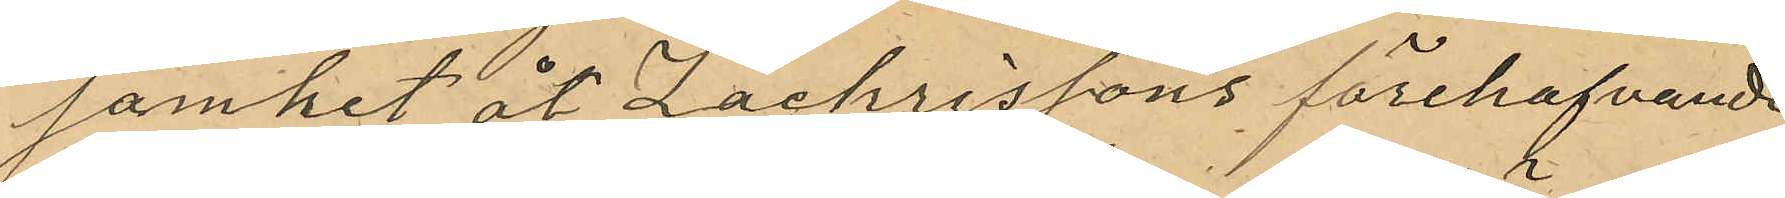samhet åt Zachrissons förehafvande
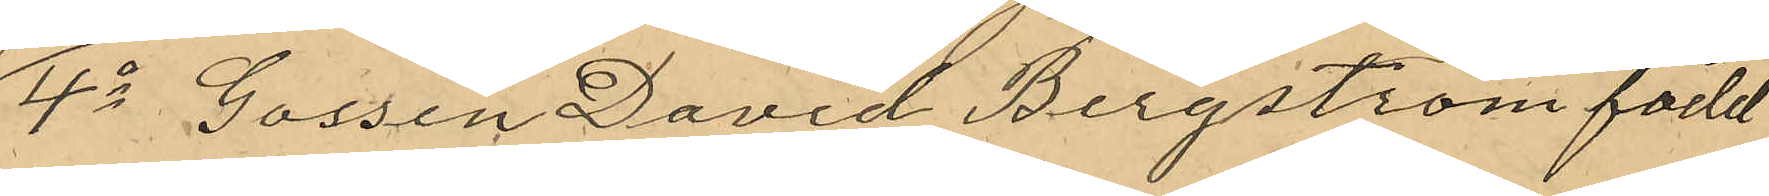4o Gossen David Bergström född
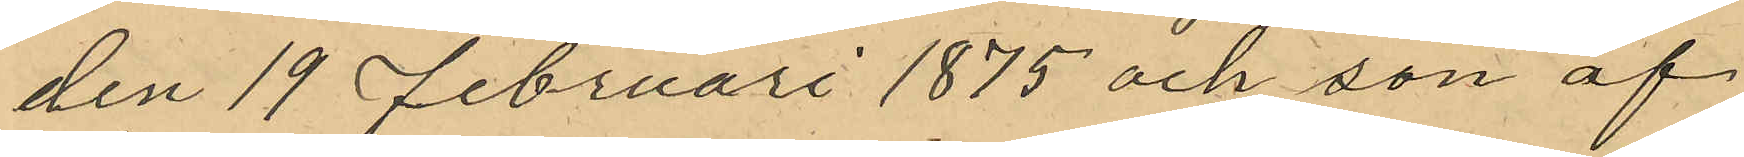den 19 Februari 1875 och son af
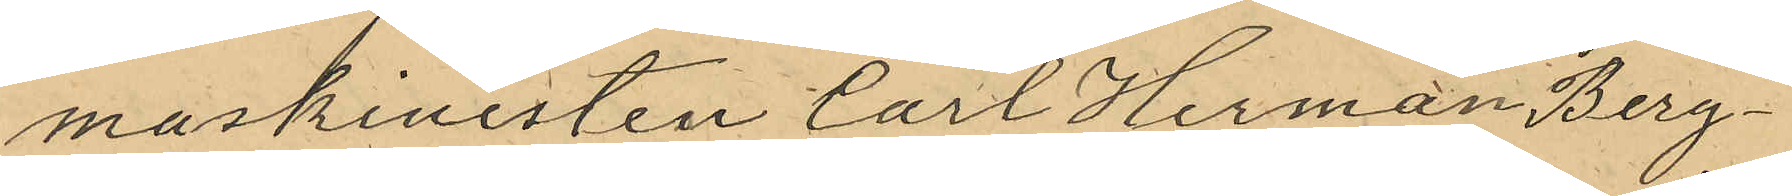maskinisten Carl Herman Berg¬
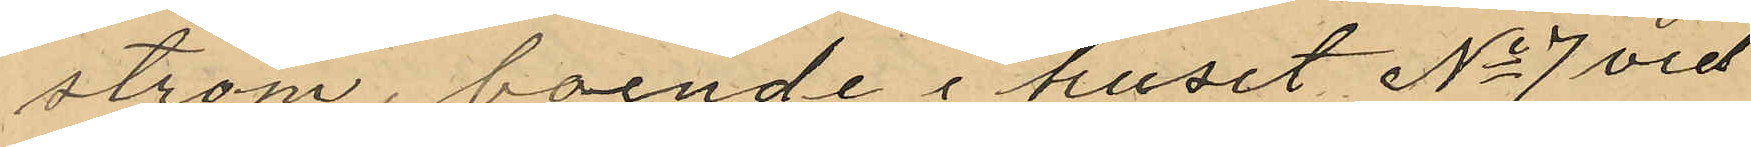ström, boende i huset No 7 vid
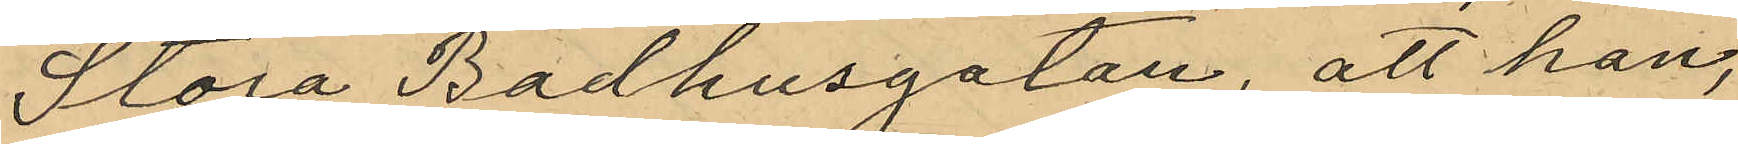Stora Badhusgatan, att han,
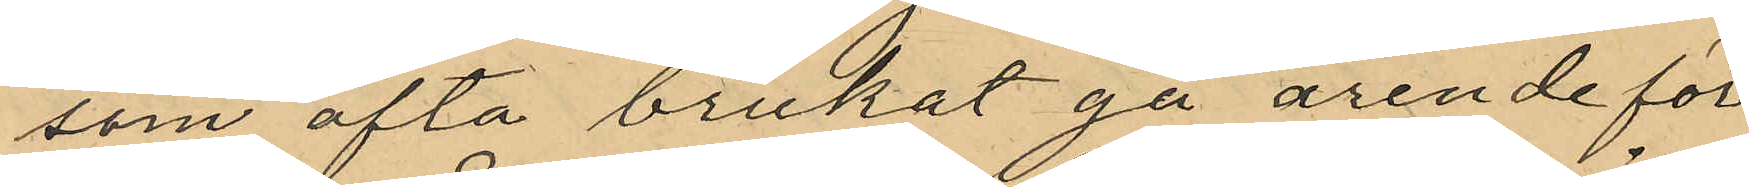som ofta brukat gå ärende för
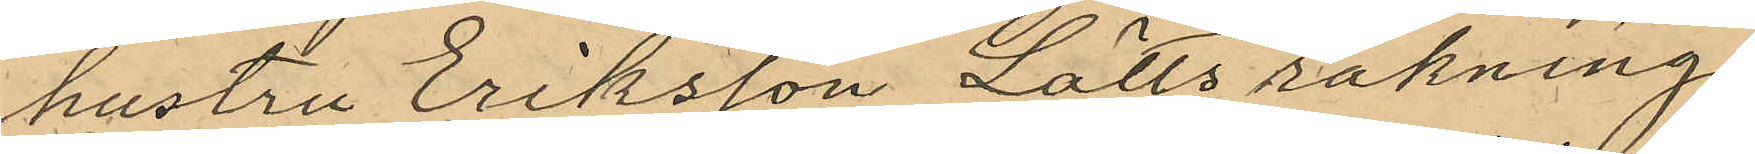hustru Eriksson Lätts räkning,
